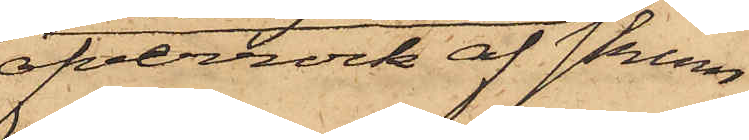öfverrock af skinn,
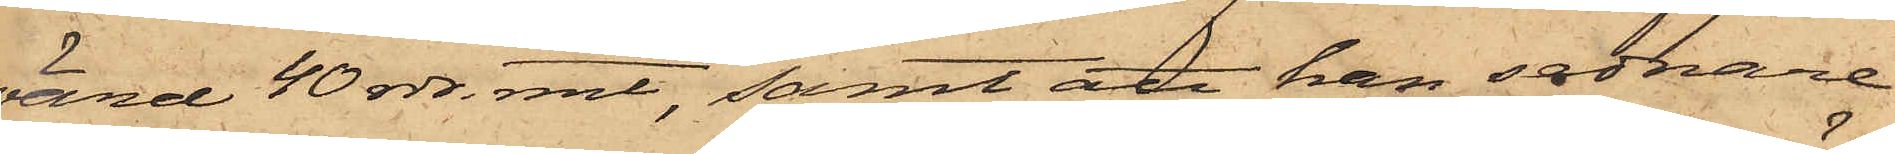värd 40 rdr. rmt, samt att han sednare
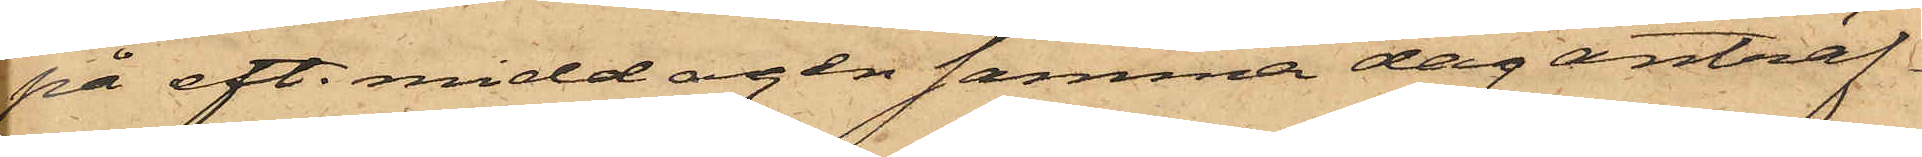på eft. middagen samma dag anträf¬
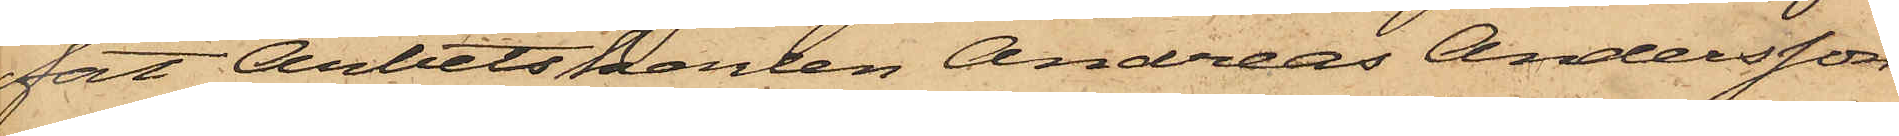fat Arbetskarlen Andreas Andersson,
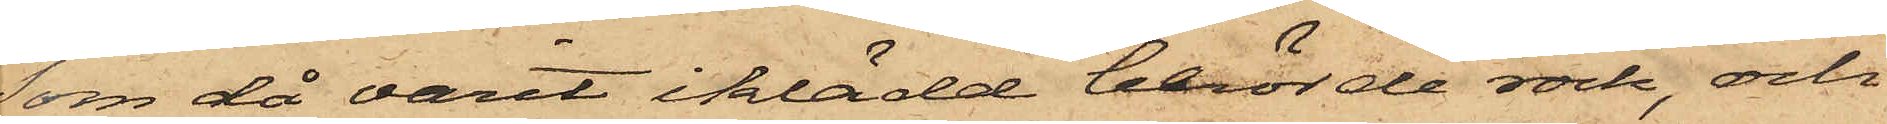som då varit iklädd berörde rock, och
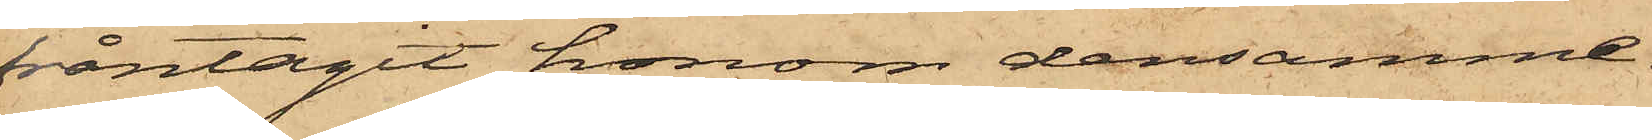fråntagit honom densamme.
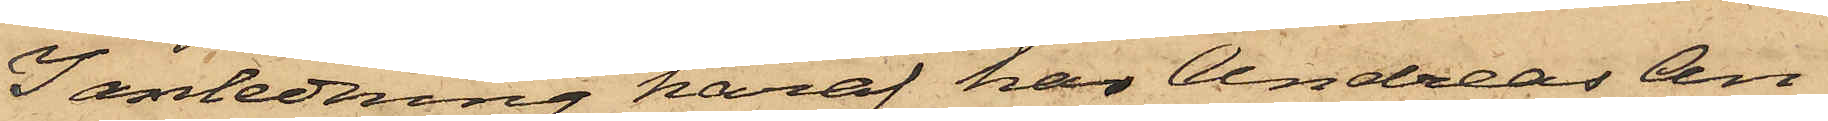I anledning häraf har Andreas An¬
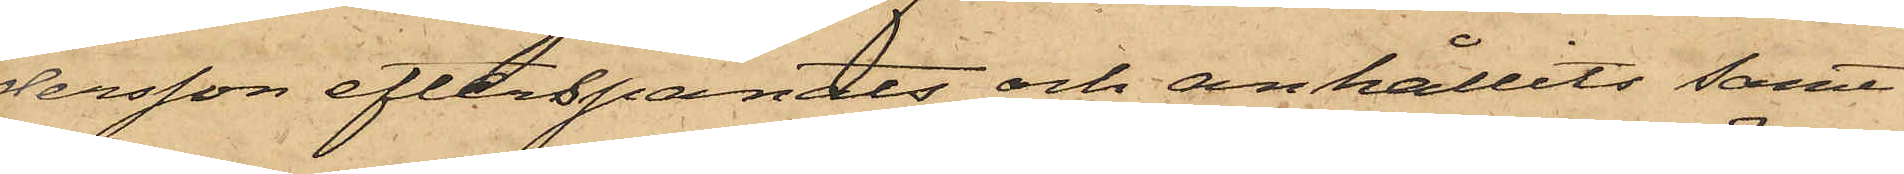dersson efterspanats och anhållits samt
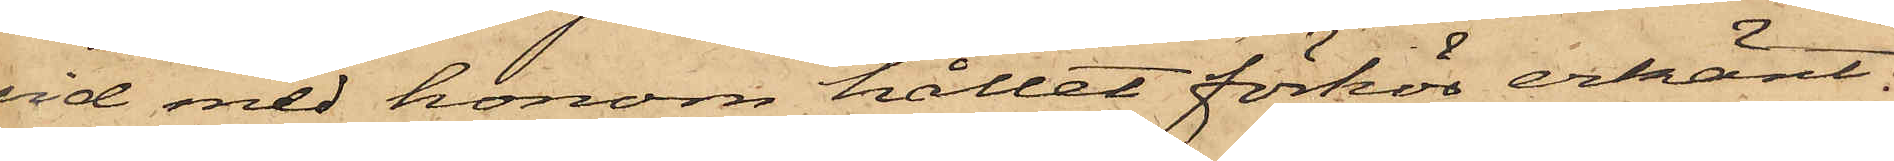vid med honom hållet förhör erkänt:
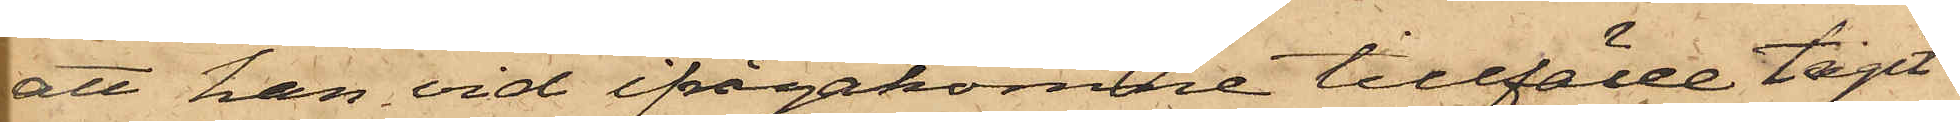att han vid ifrågakomne tillfälle tagit
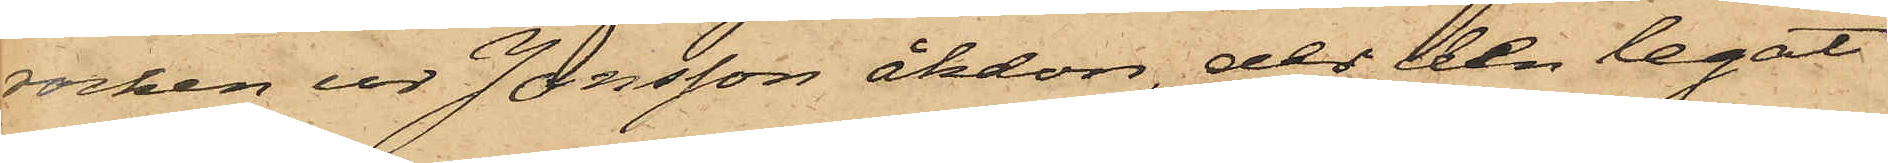rocken ur Jonsson åkdon, der den legat
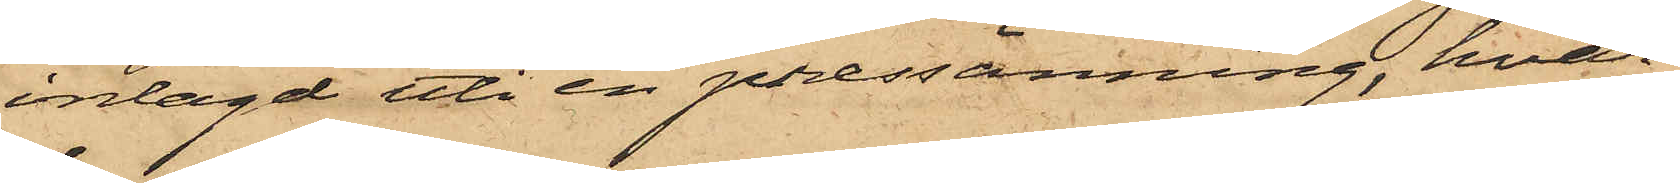inlagd uti en pressenning, hvar¬
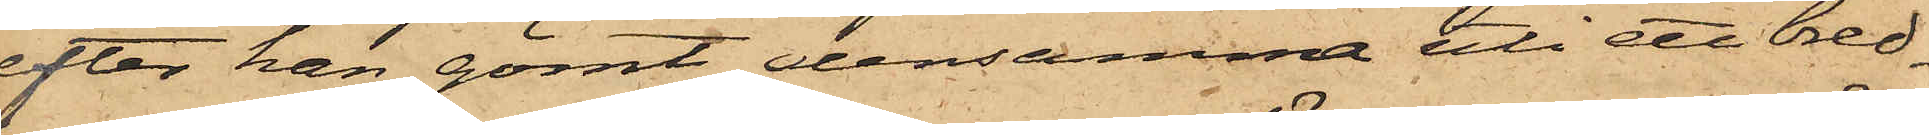efter han gömt densamma uti ett bred¬
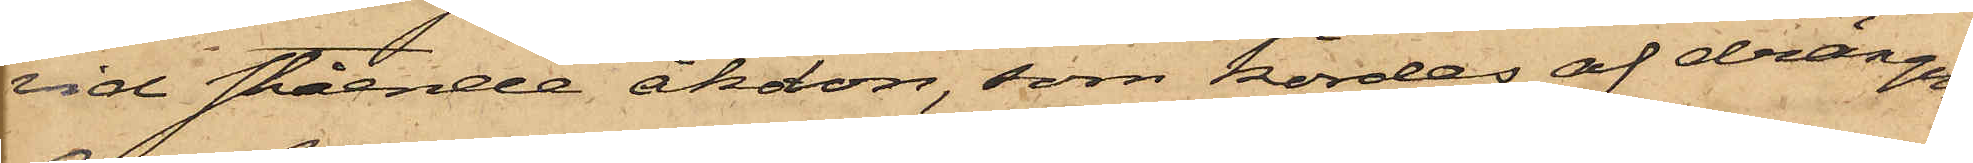vid stående åkdon, som kördes af drängen
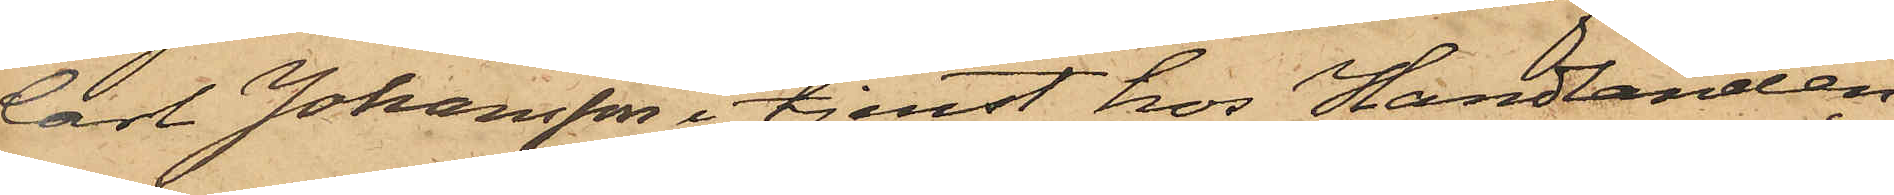Carl Johansson i tjenst hos Handlanden
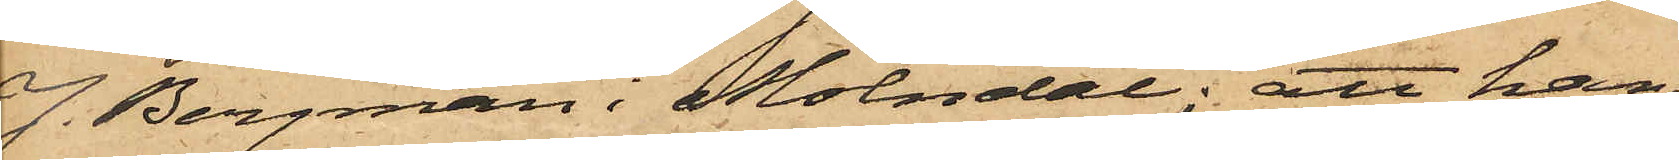J. Bergman i Mölndal; att han
